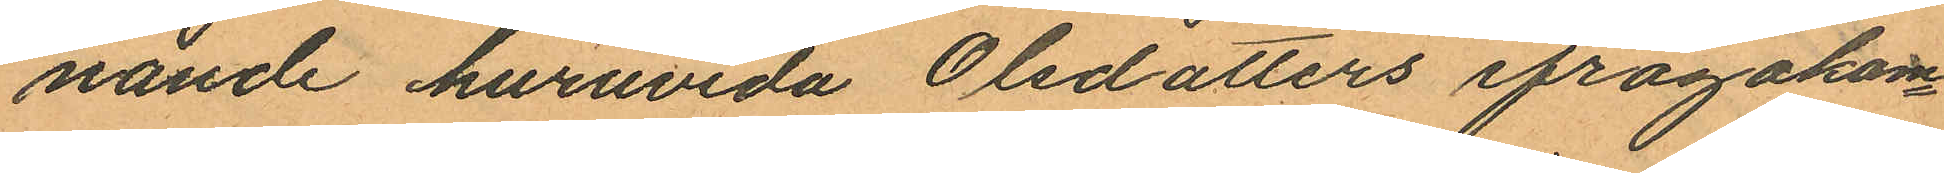nande huruvida Olsdotters ifrågakom¬
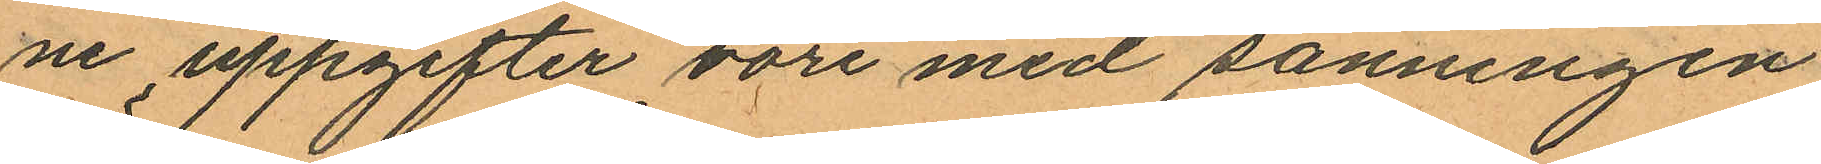ne uppgifter vore med sanningen
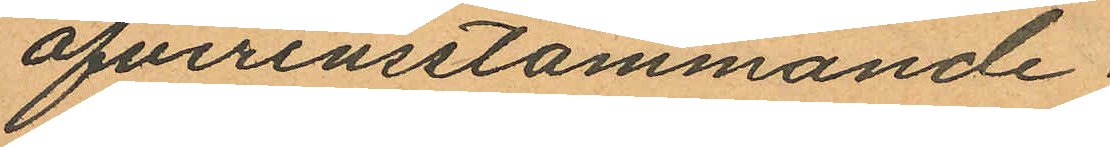öfverensstämmande.
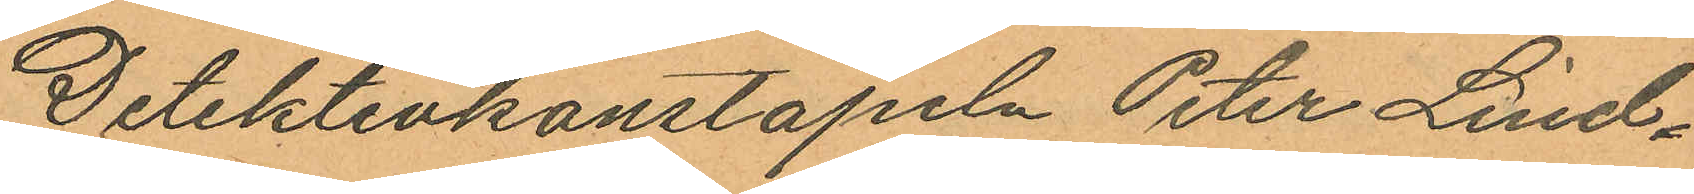Detektivkonstapeln Peter Lind¬
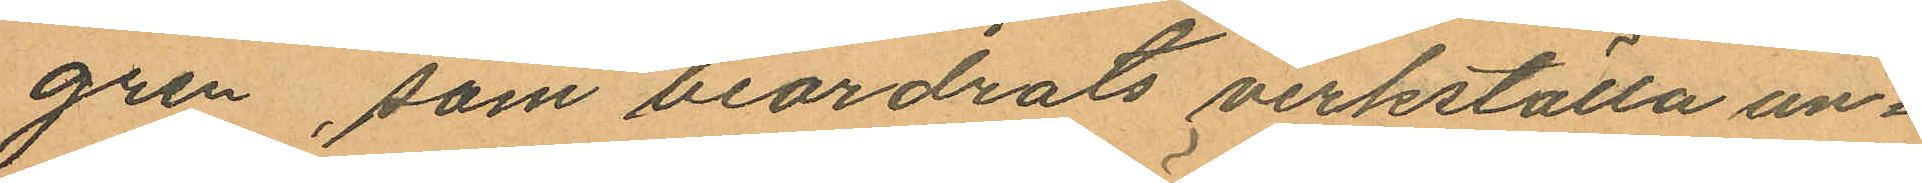gren, som beordrats verkställa un¬
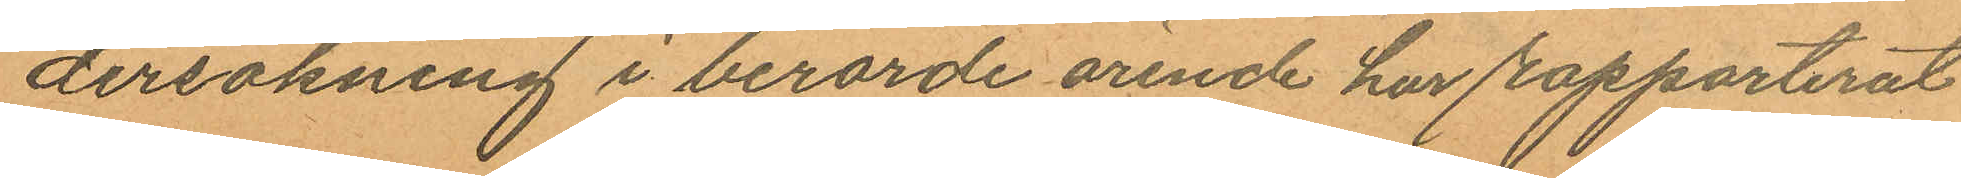dersökning i berörde ärende har rapporterat
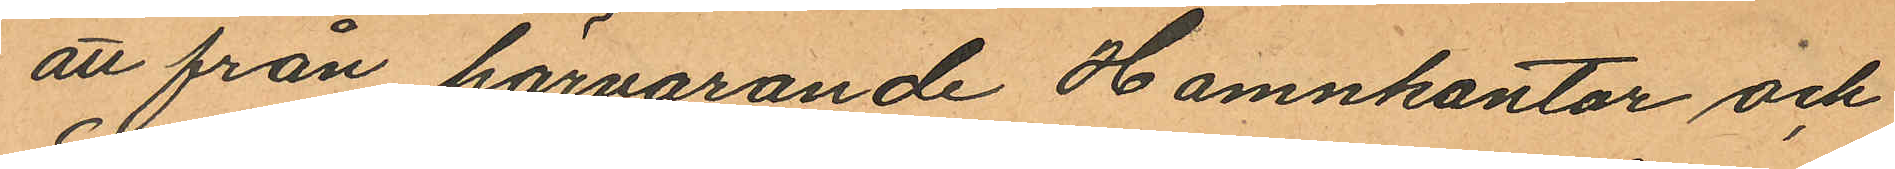att från härvarande Hamnkontor och
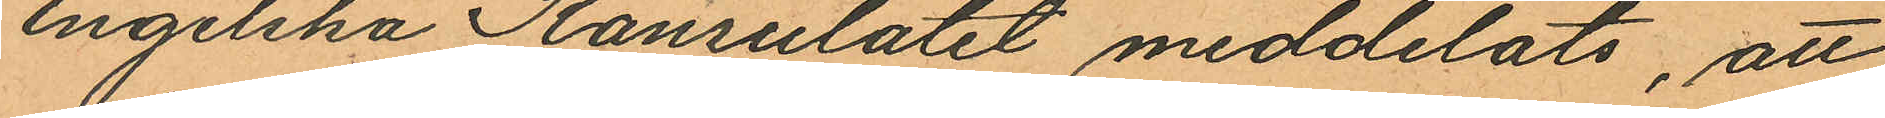Engelska Konsulatet meddelats, att
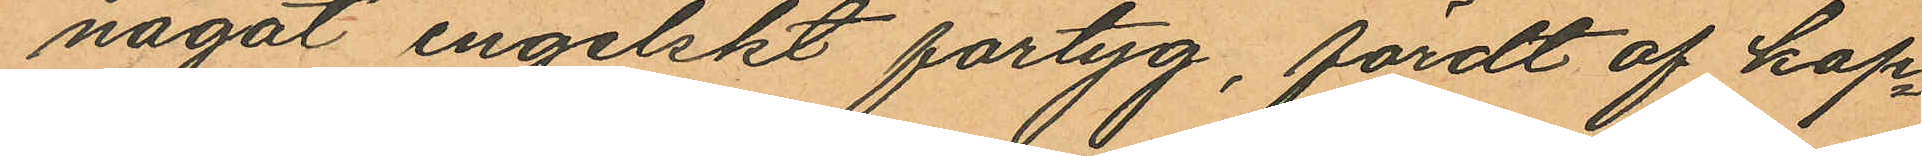något engelskt fartyg, fördt af kap¬
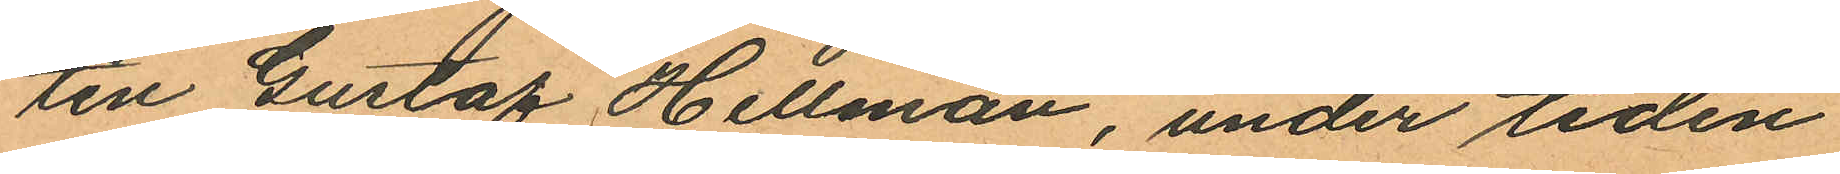ten Gustaf Hellman, under tiden
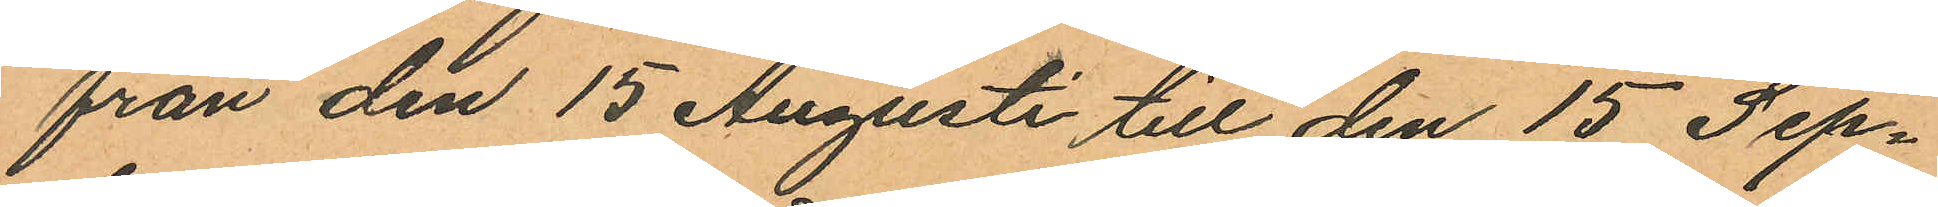från den 15 Augusti till den 15 Sep¬
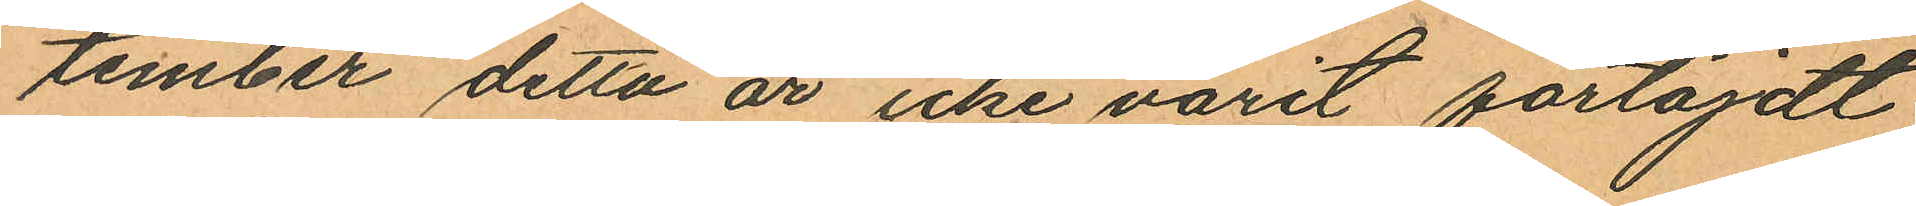tember detta år icke varit förtöjdt
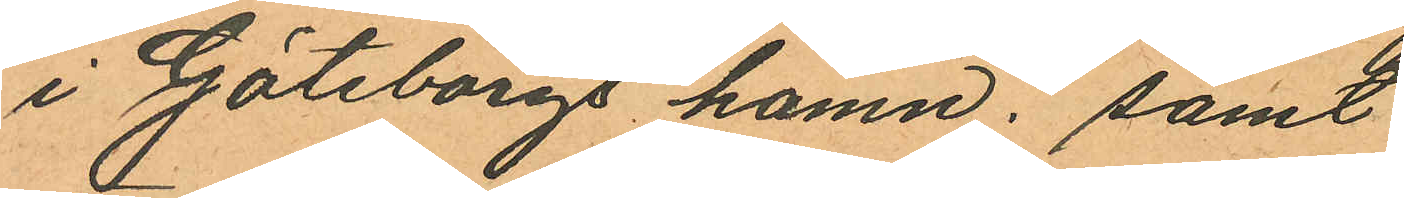i Göteborgs hamn; samt
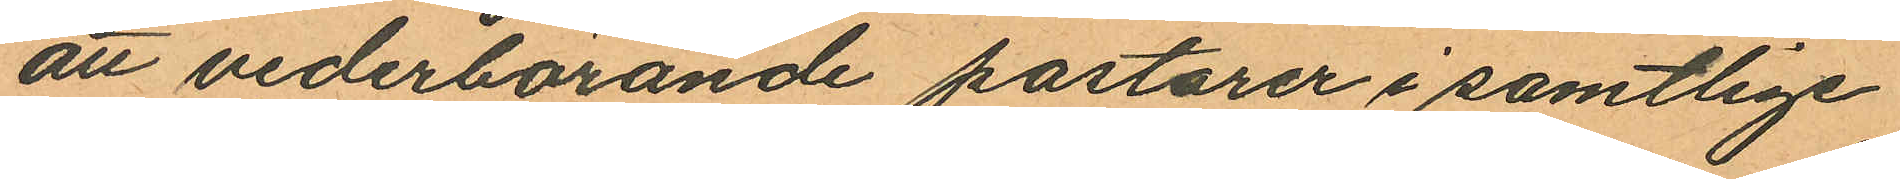att vederbörande pastorer i samtlige
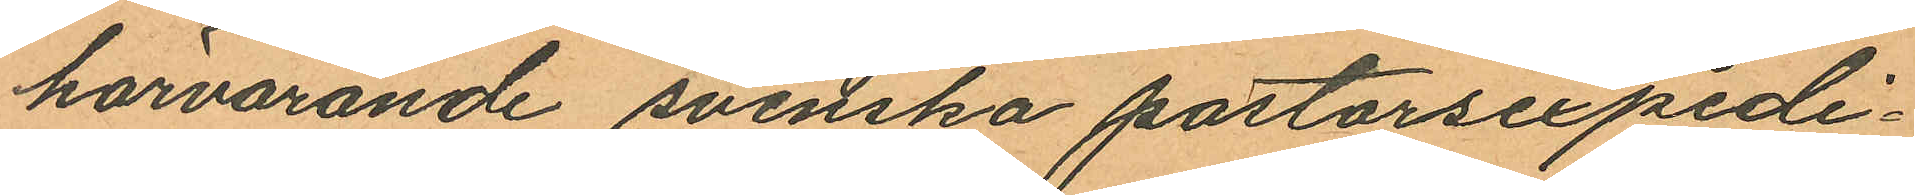härvarande svenska pastorsexpedi¬
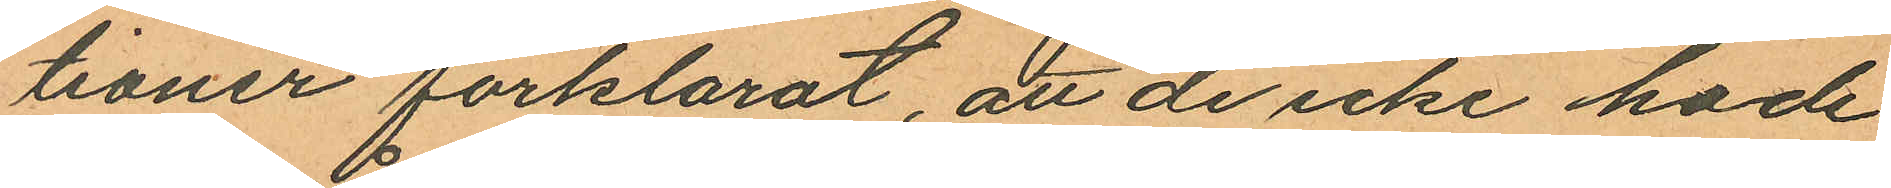tioner förklarat, att de icke hade
